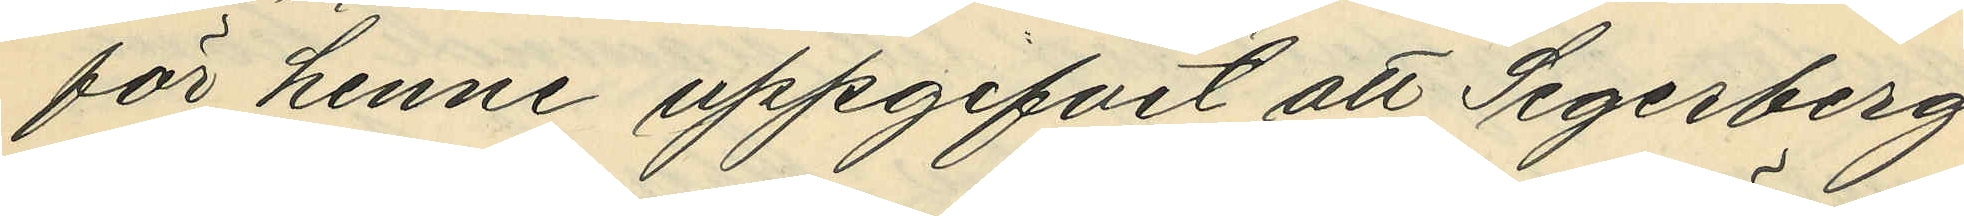för henne uppgifvit att Segerberg
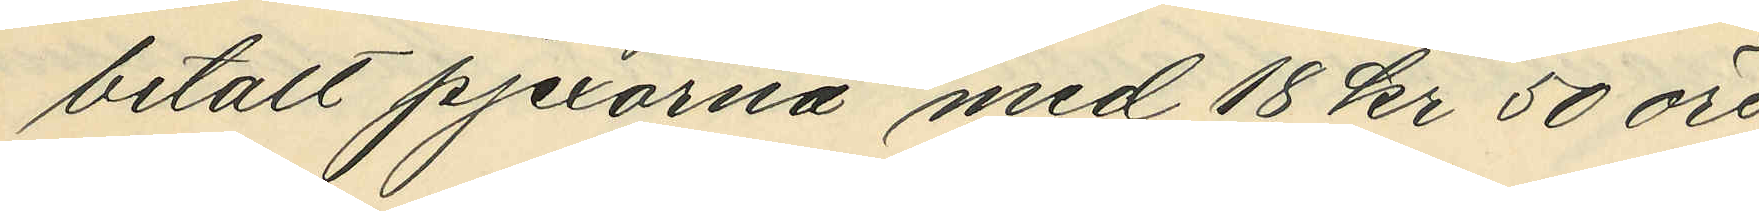betalt pjexorna med 18 kr 50 öre;
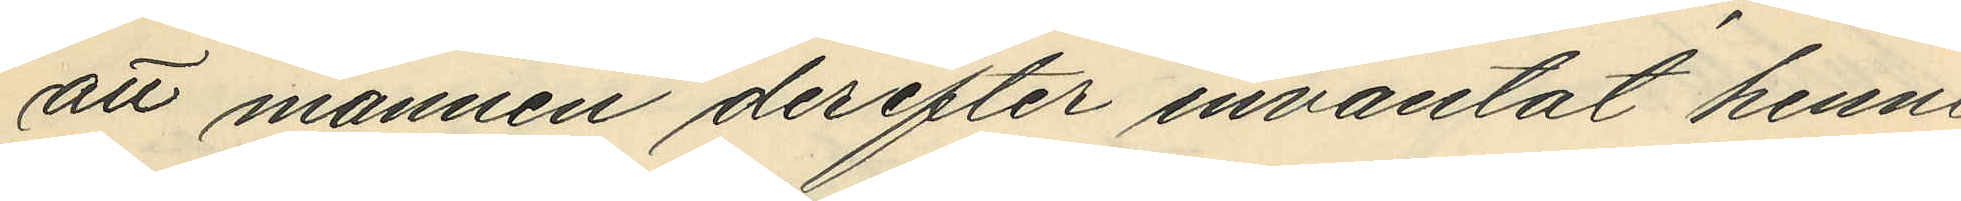att mannen derefter inväntat henne
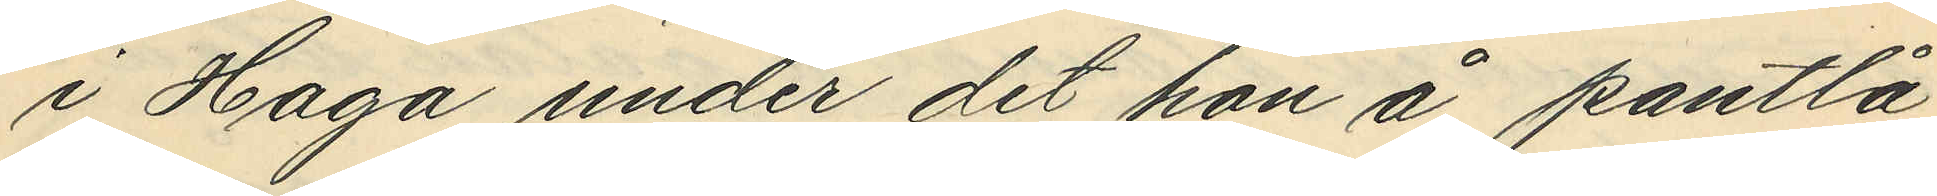i Haga under det hon å pantlå¬
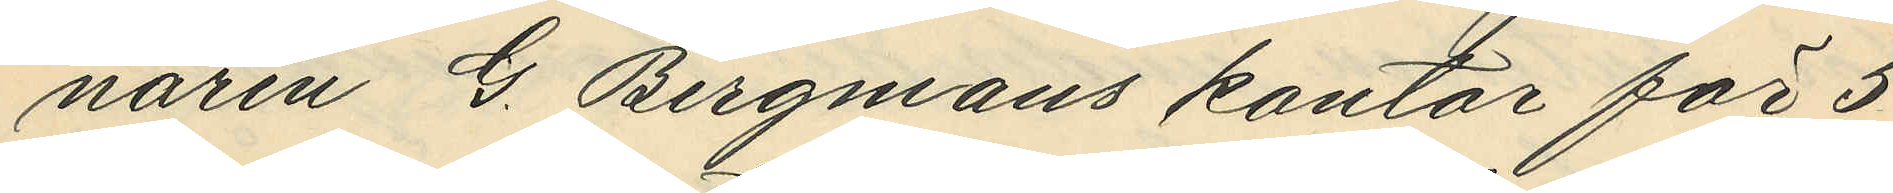naren G. Bergmans kontor för 5
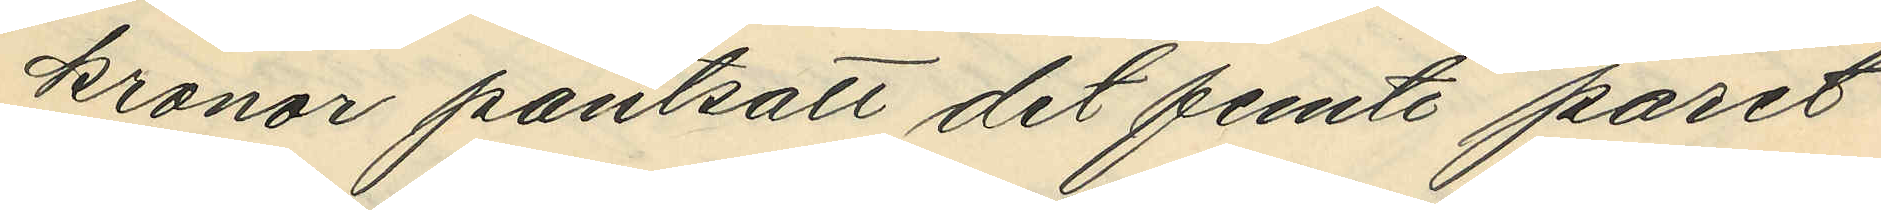kronor pantsatt det femte paret
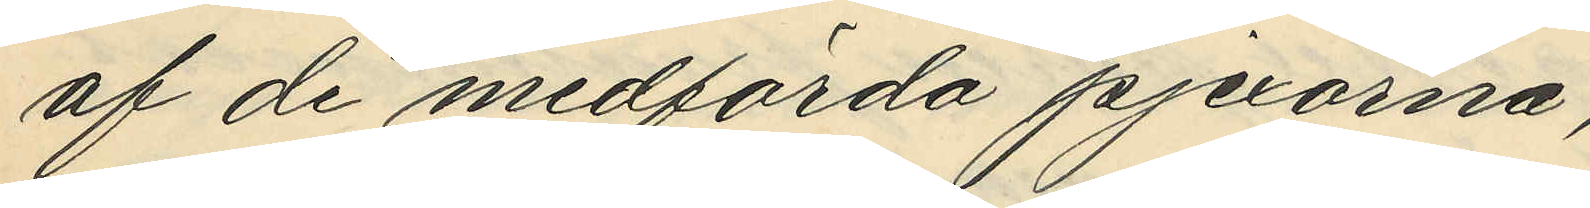af de medförda pjexorna;
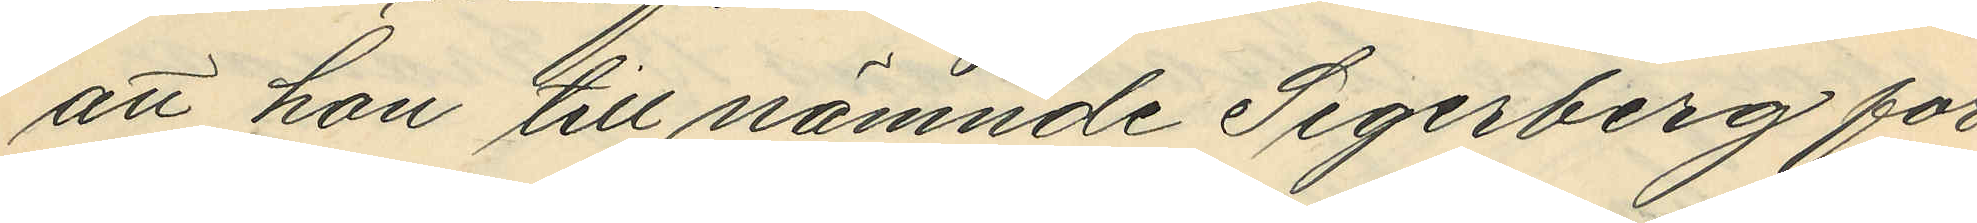att hon till nämnde Segerberg för
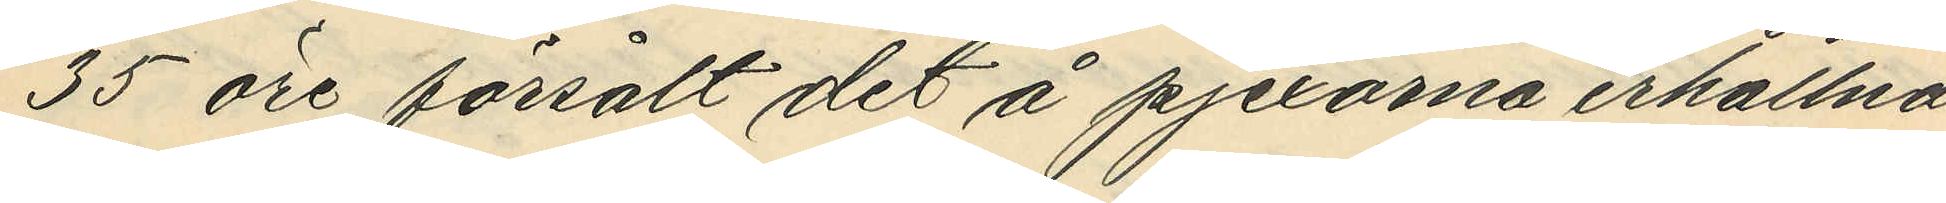35 öre försålt det å pjexorna erhållna
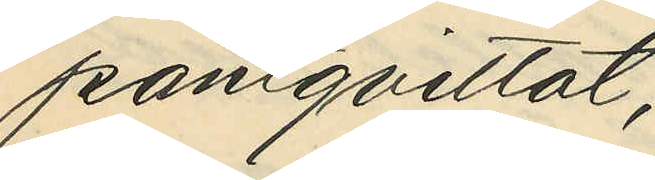pantqvittot;
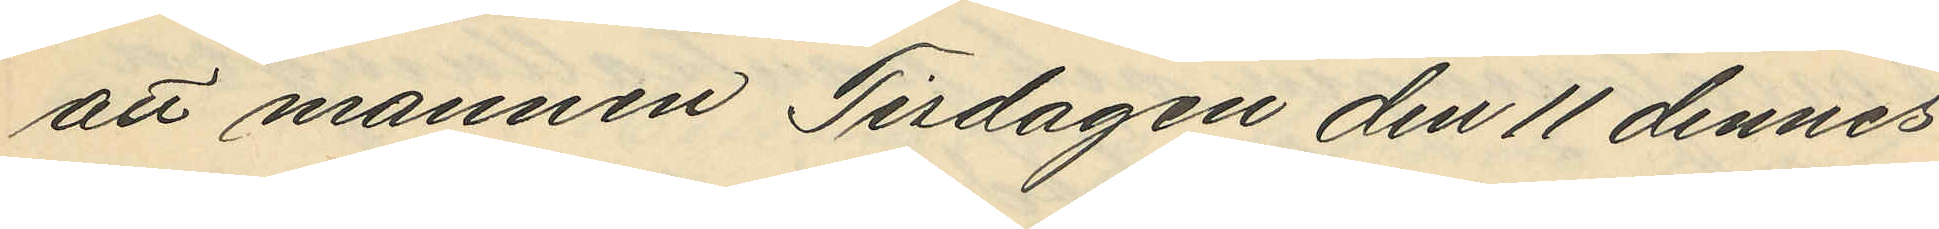att mannen Tisdagen den 11 dennes
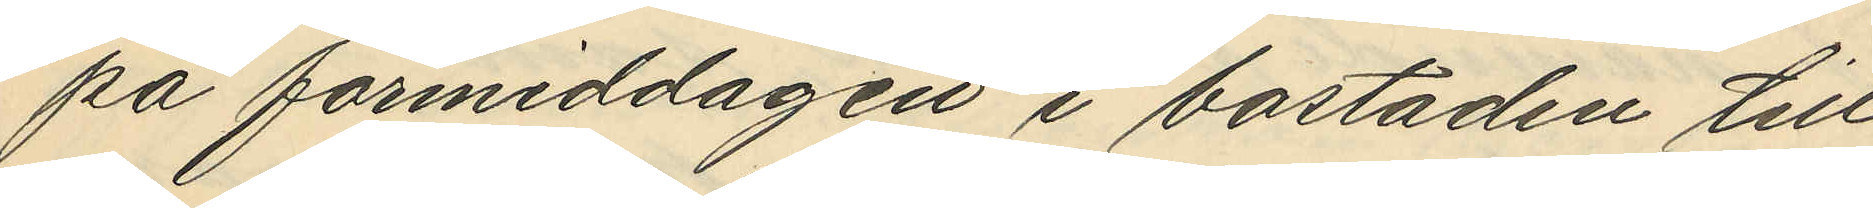på förmiddagen i bostaden till
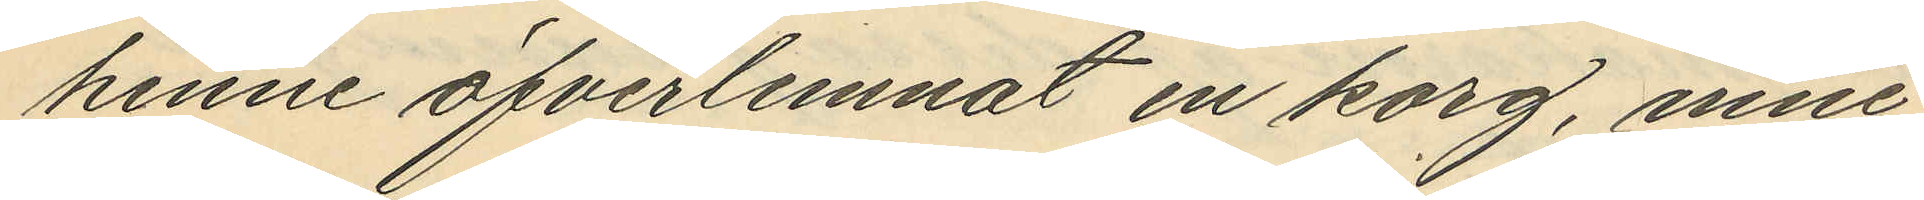henne öfverlemnat en korg, inne¬
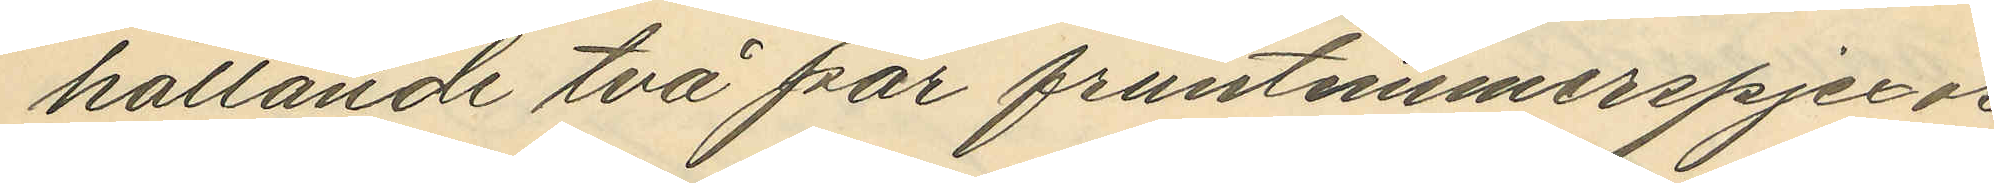hållande två par fruntimmerspjexor
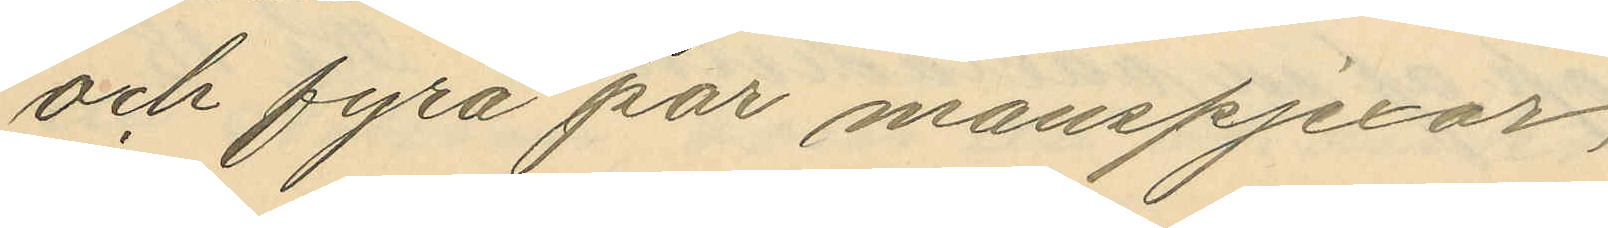och fyra par manspjexor;
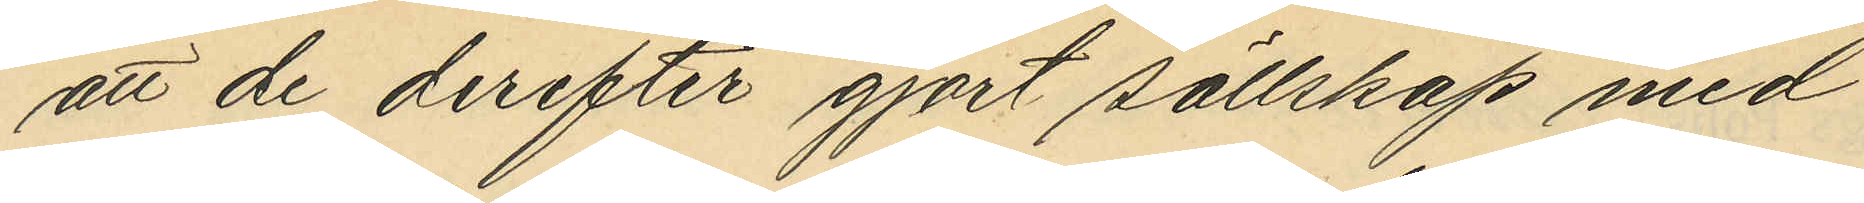att de derfter gjort sällskap med
